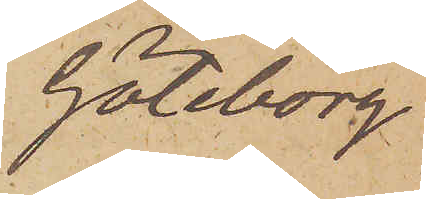Göteborg
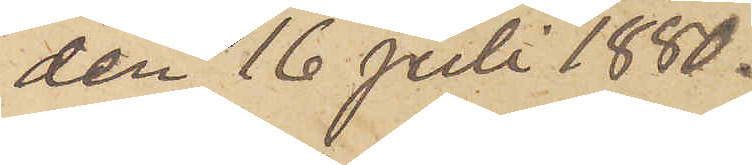den 16 Juli 1880.
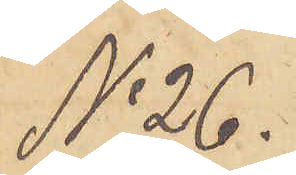No 26.
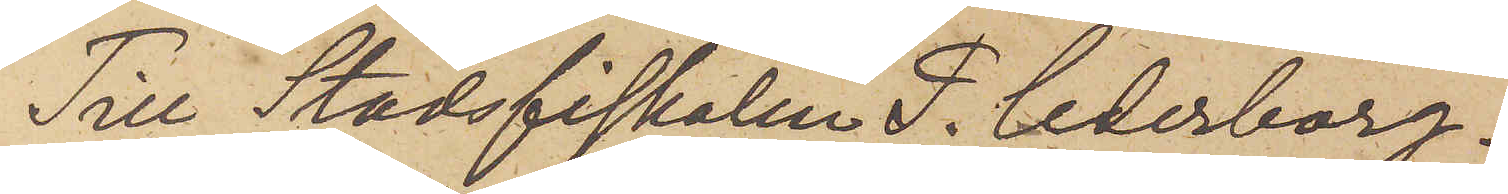Till Stadsfiskalen P. Cederborg.
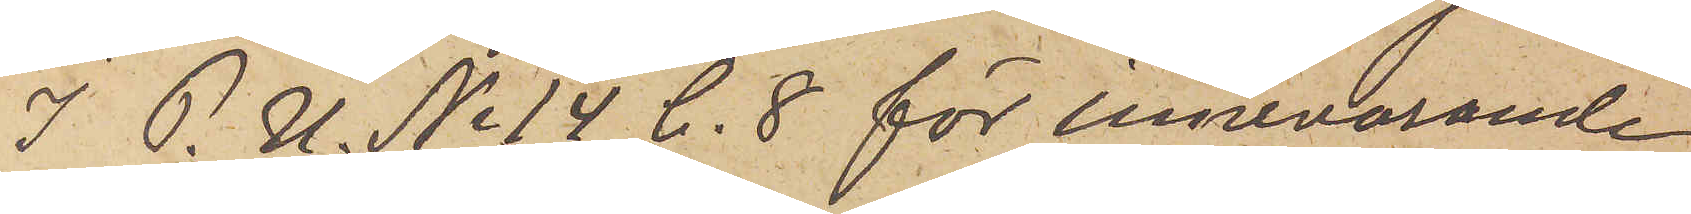I. P. U. No 14 C. 8 för innevarande
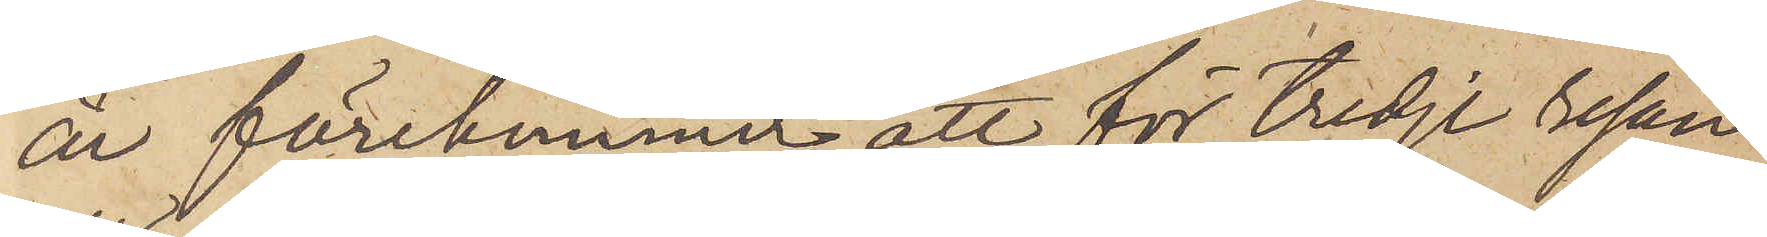år förekommer att för tredje resan
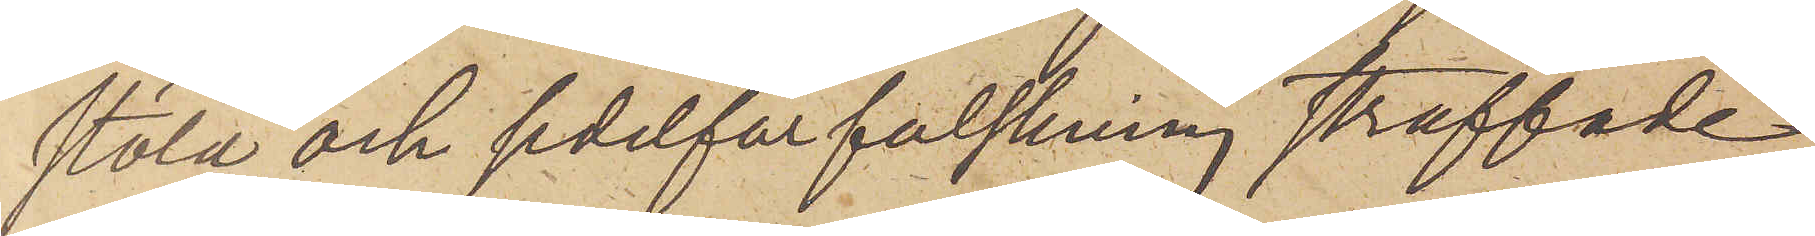stöld och sedelförfalskning straffade
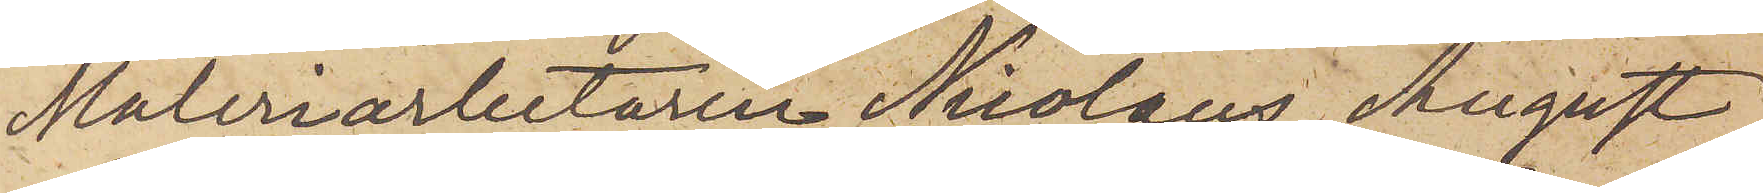Måleriarbetaren Nicolaus August
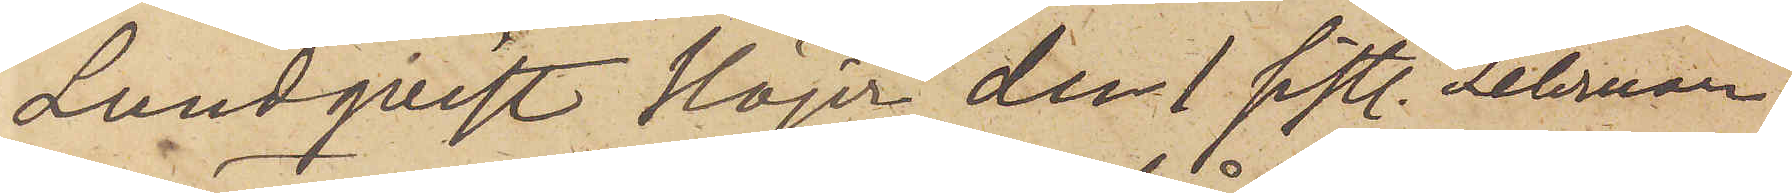Lundqvist Höjer den 1 sistl. Februari
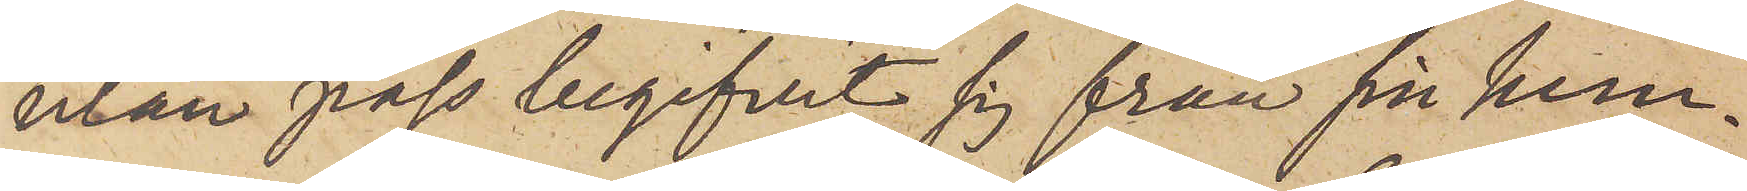utan pass begifvit sig från sin hem¬
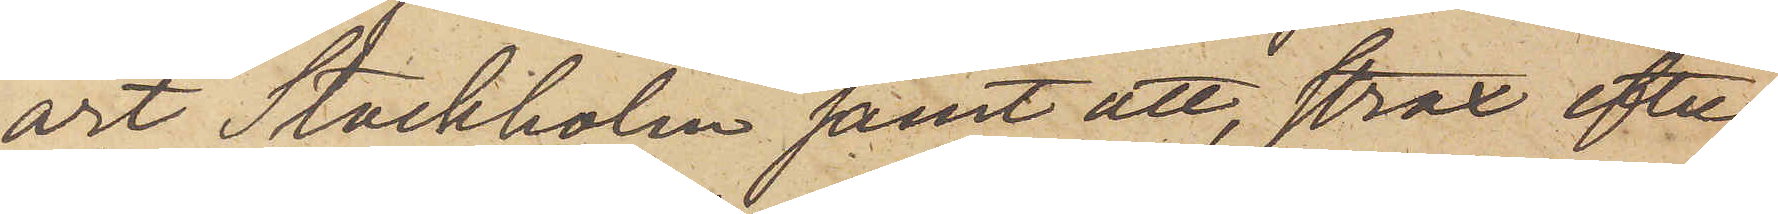ort Stockholm samt att, strax efter
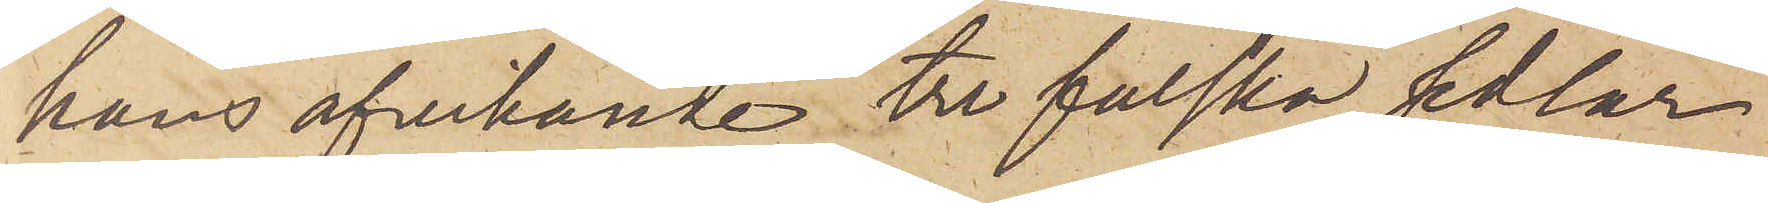hans afvikande tre falska sedlar
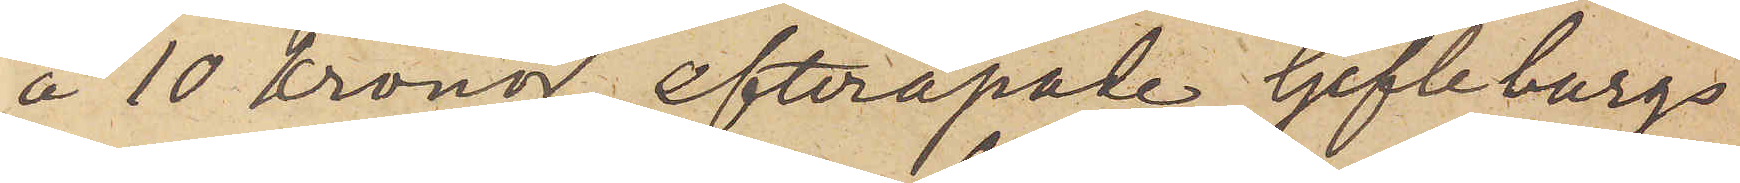å 10 kronor, efterapade Gefleborgs
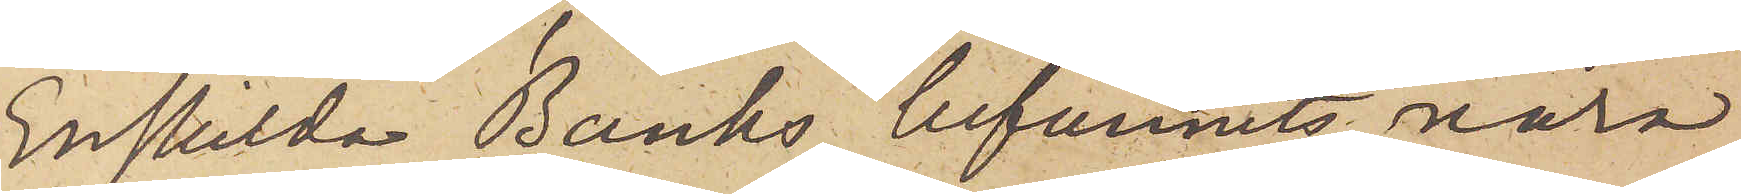Enskilda Banks, befunnits vara
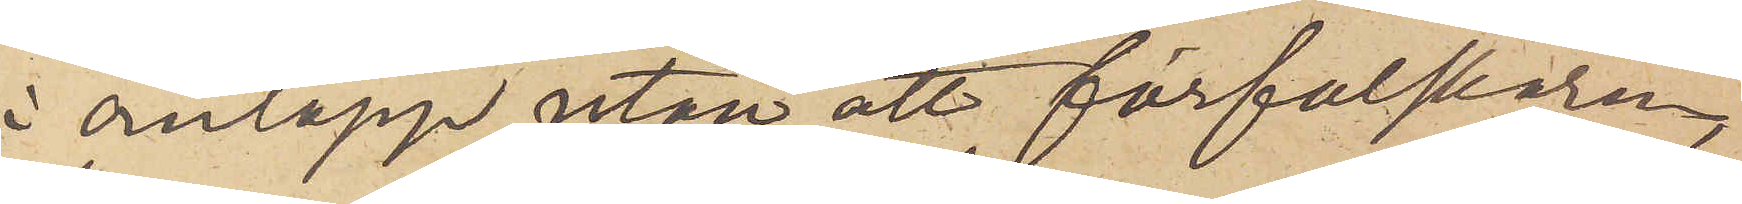i omlopp utan att förfalskaren,
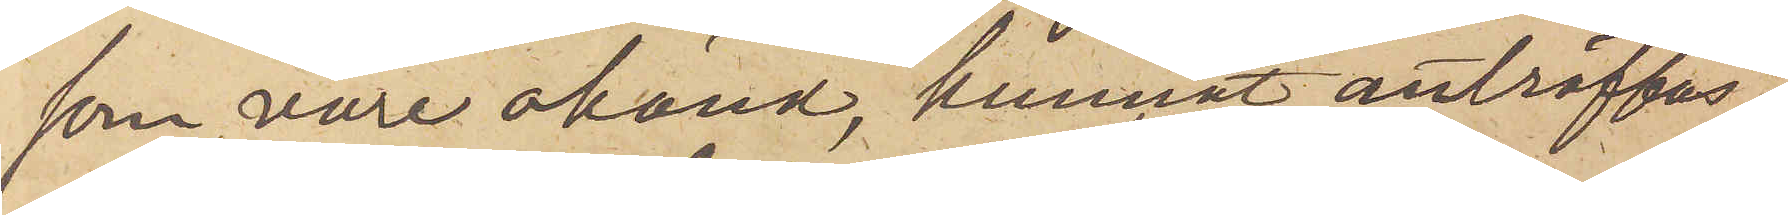som vore okänd, kunnat anträffas.
